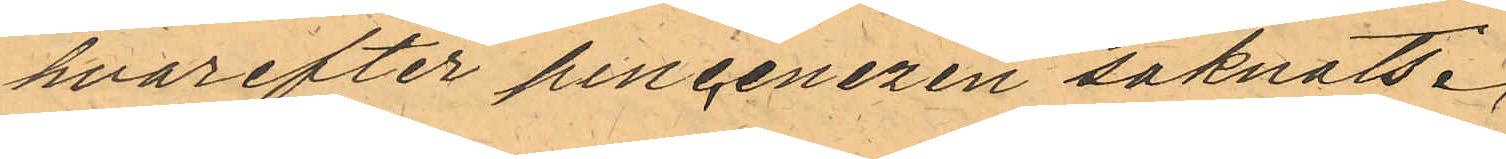hvarefter pincenezen saknats.
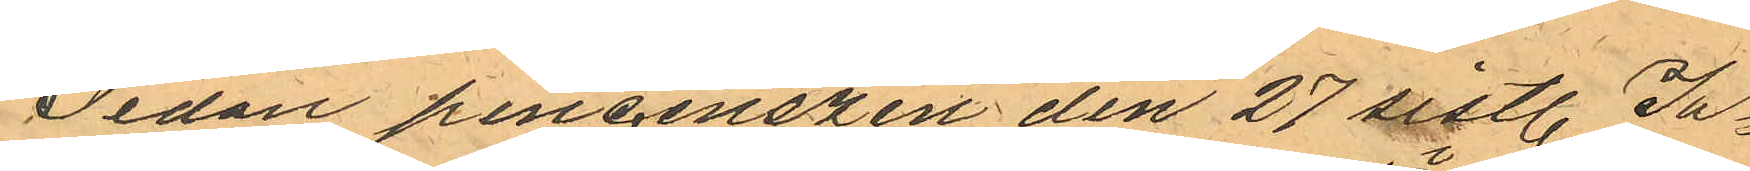Sedan pincenezen den 27 sistl. Ja¬ 
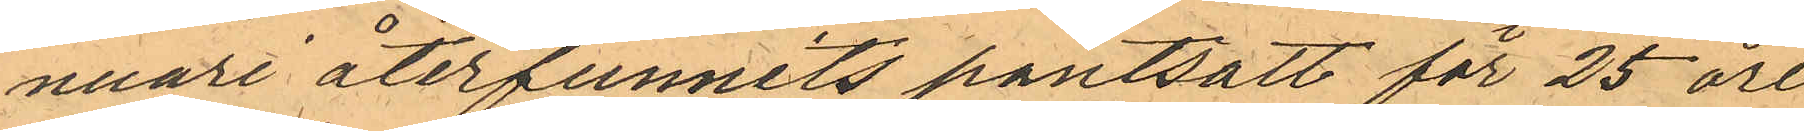nuari återfunnits pantsatt för 25 öre
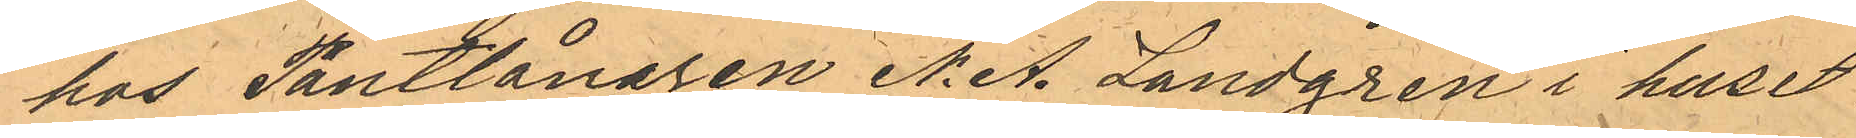hos Pantlånaren N. A. Landgren i huset
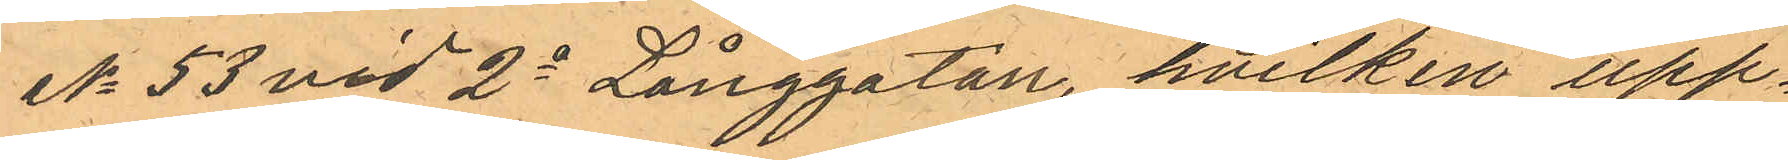No 53 vid 2a Långgatan, hvilken upp¬
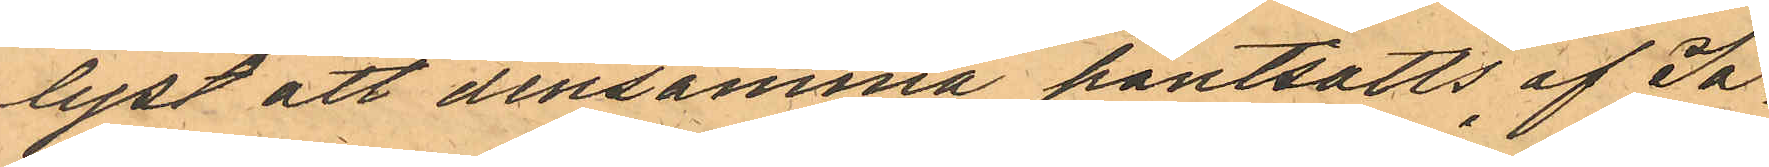lyst att densamma pantsatts af Ja¬
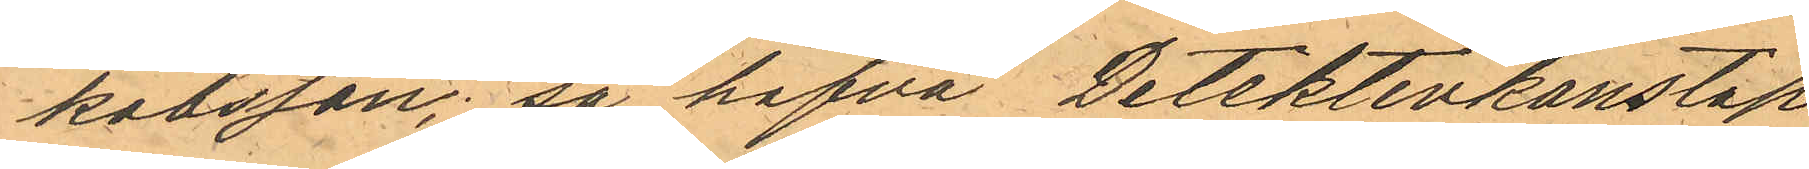kobsson, så hafva Detektivkonstap¬
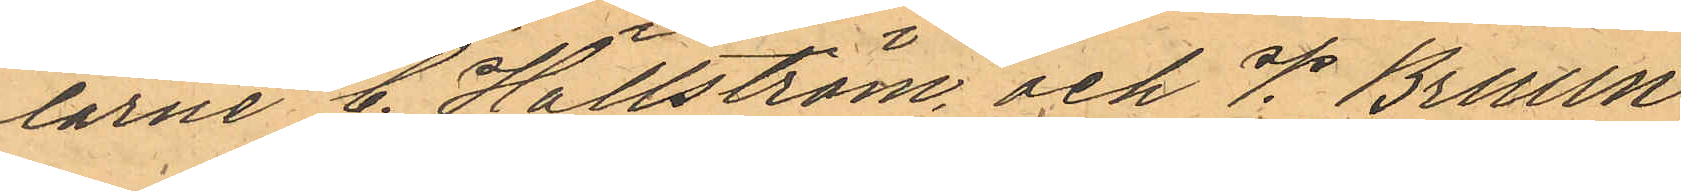larne C. Hällström och V. Bruun
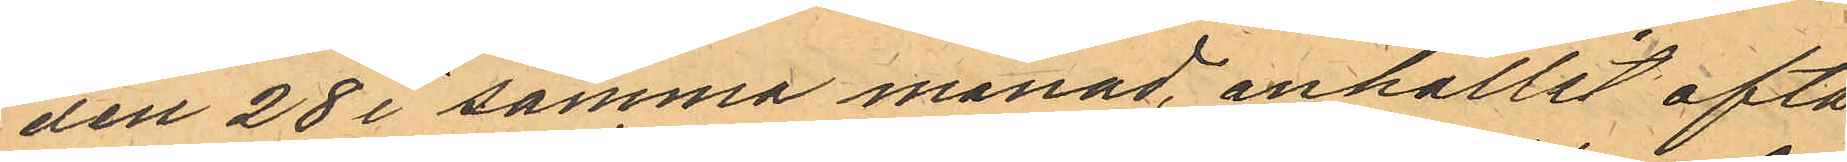den 28 i samma månad anhållit ofta¬
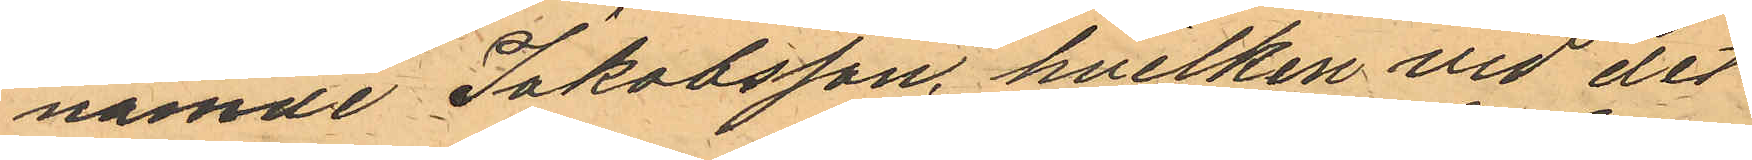nämde Jakobsson, hvilken vid det
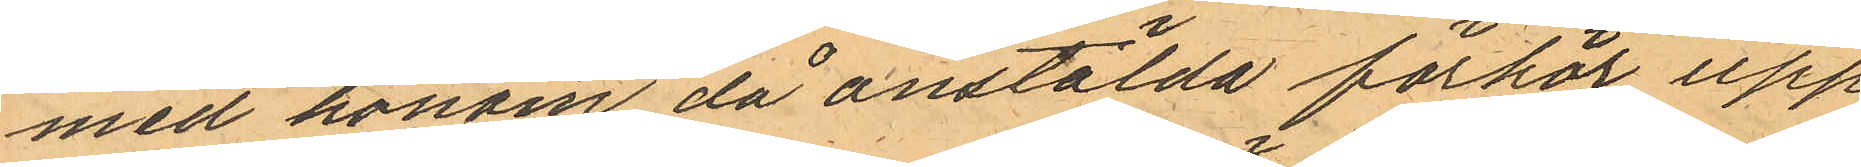med honom då anstälda förhör upp¬
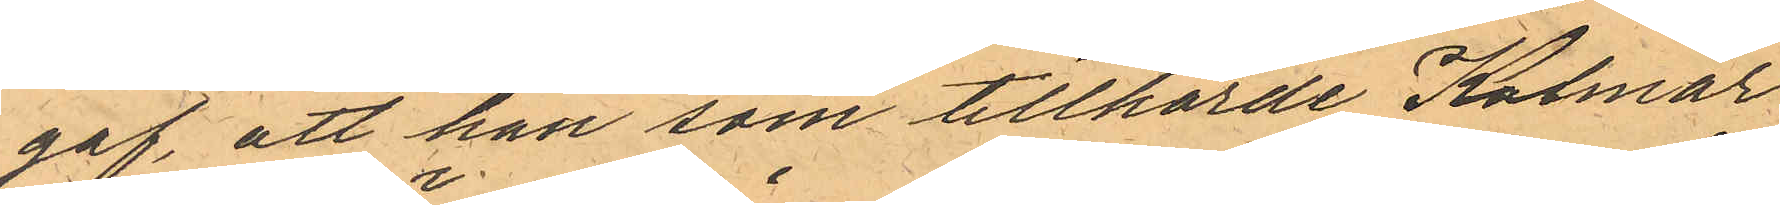gaf att han som tillhörde Kalmar
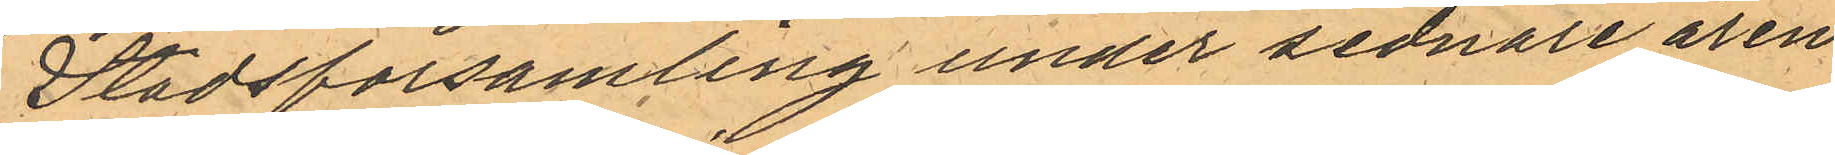Stadsförsamling under sednare åren
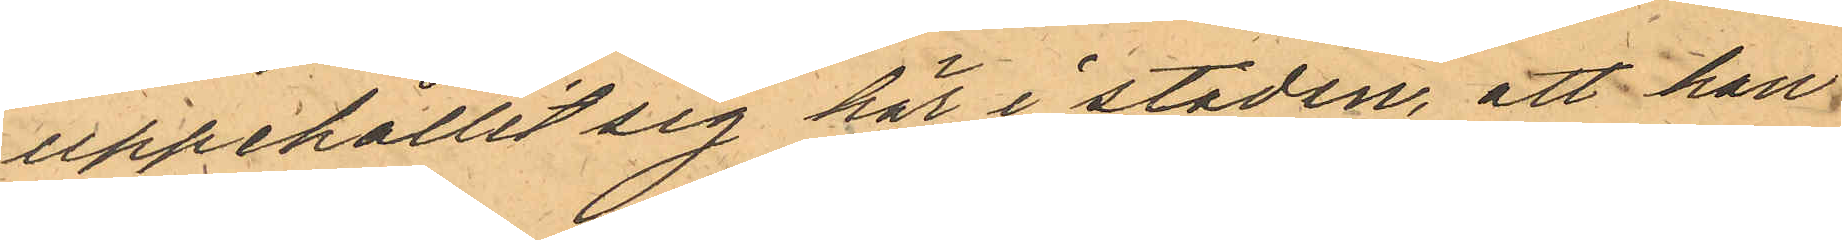uppehållit sig hör i staden, att han
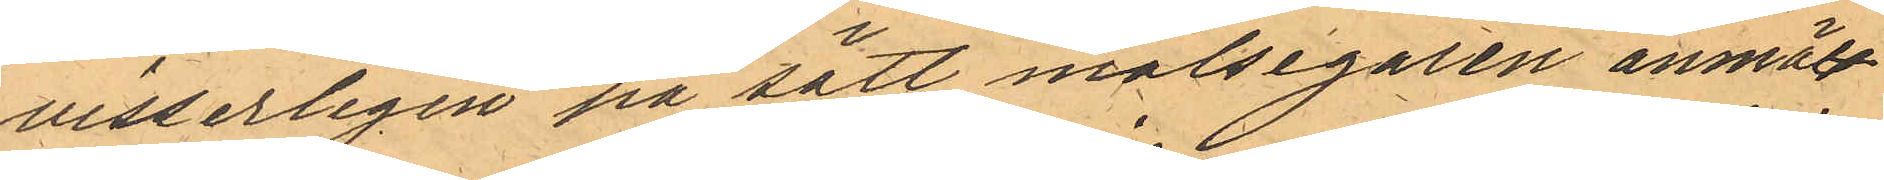visserligen på sätt målsegaren anmält
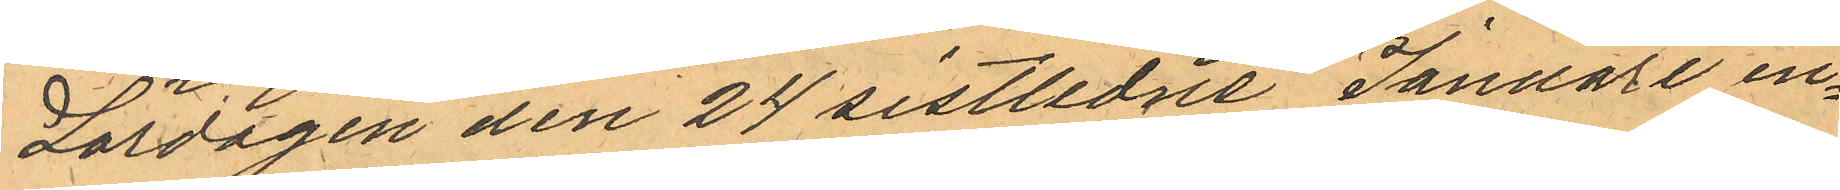Lördagen den 24 sitlidne Januari in¬
